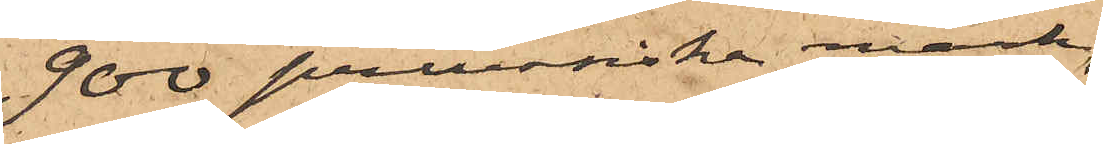900 preussiska mark,
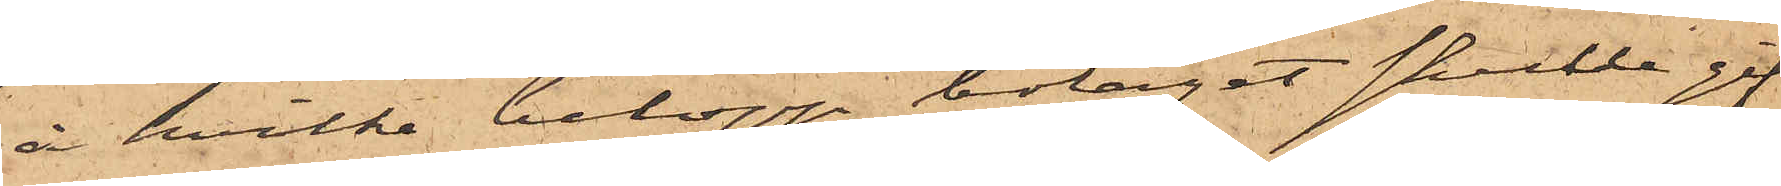å hvilka belopp bolaget skulle gif¬
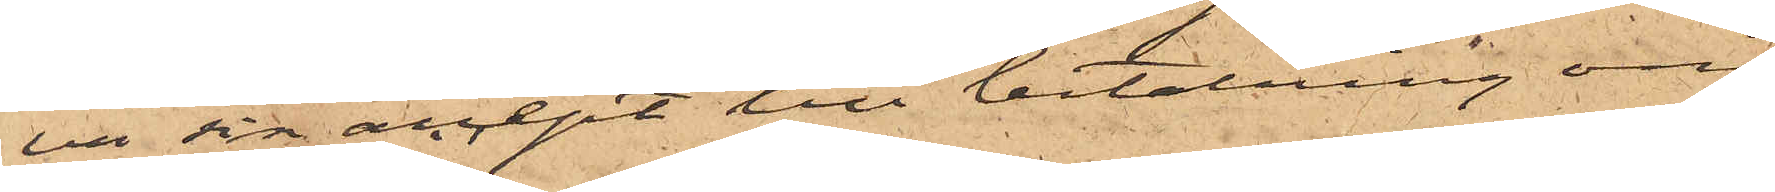va sin accept till betalning om
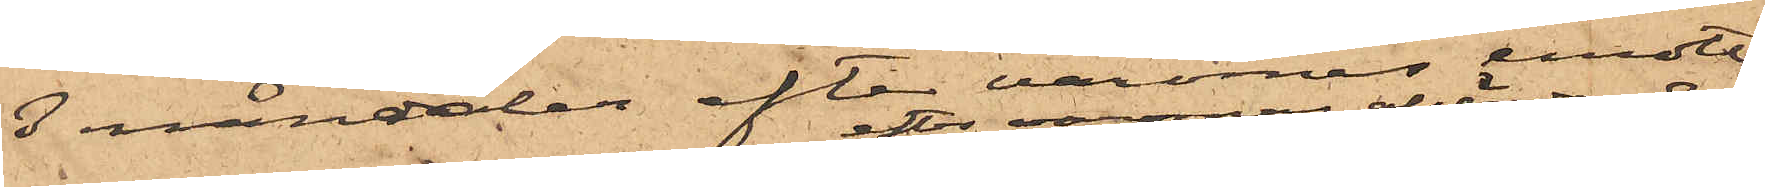3 månader efter varornas emottag¬
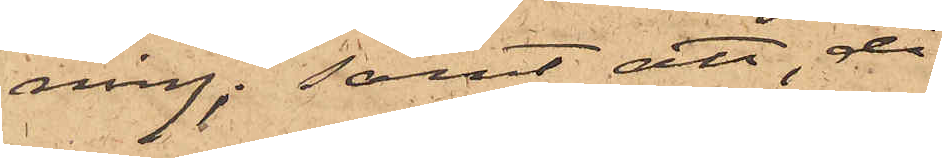ning; samt att, då
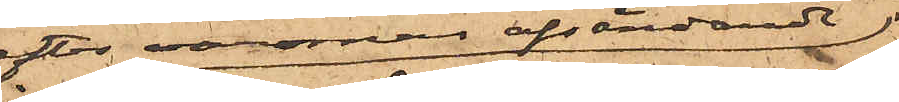efter varornas afsändande
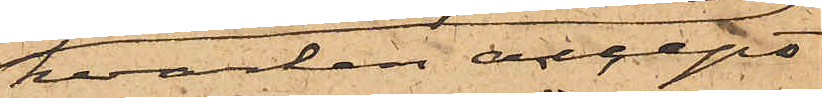hvarken accept
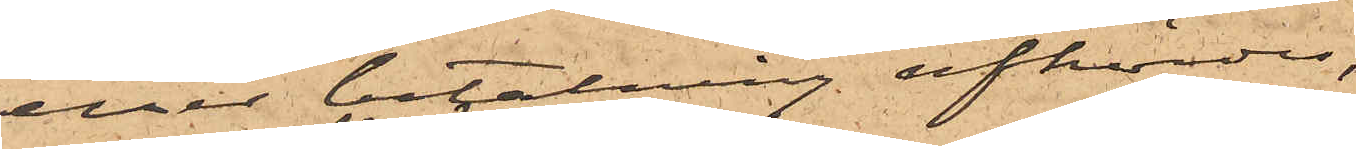eller betalning afhördes,
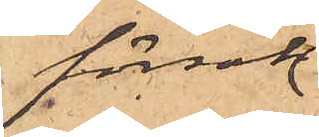försök
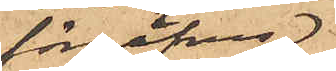förgäfves
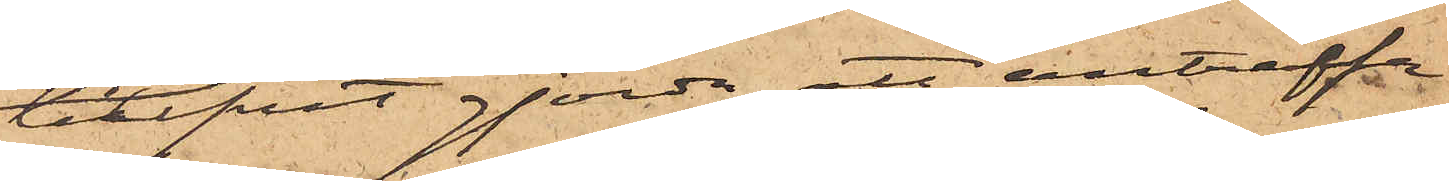blifvit gjorda att anträffa
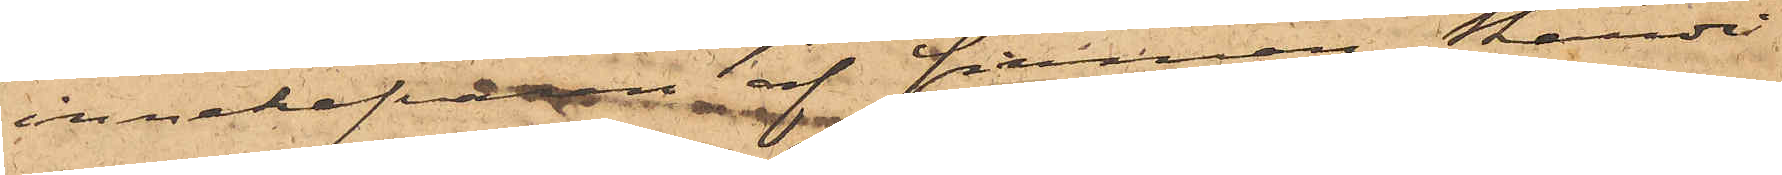innehafvaren af firman Skandi¬
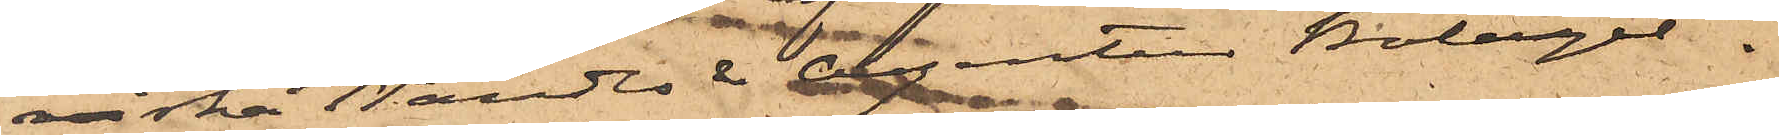viska Handls & Agentur Bolaget.
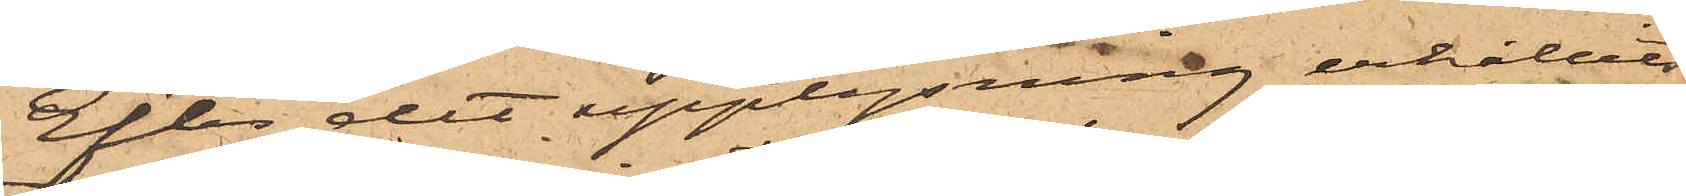Efter det upplysning erhållits
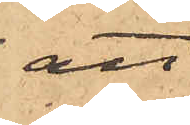att
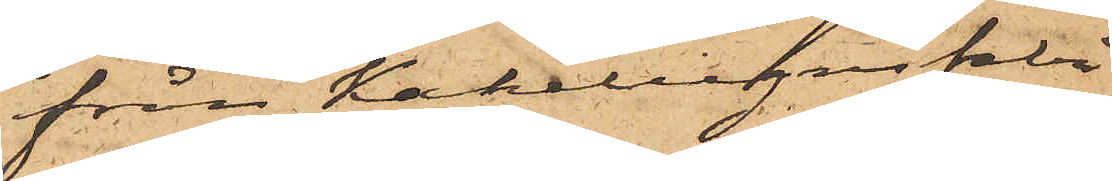från Kakelugnsfabri¬
